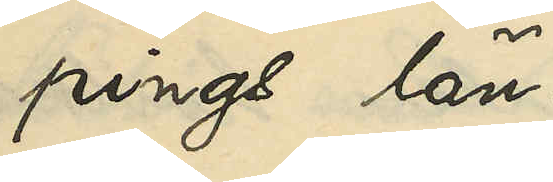pings län.
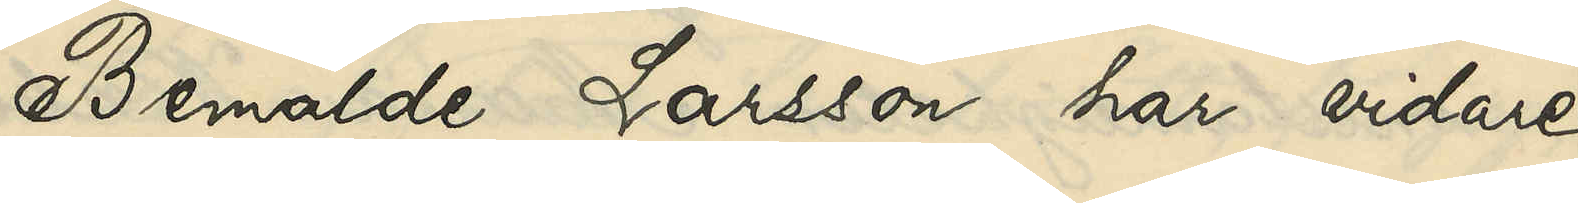Bemälda Larsson har vidare
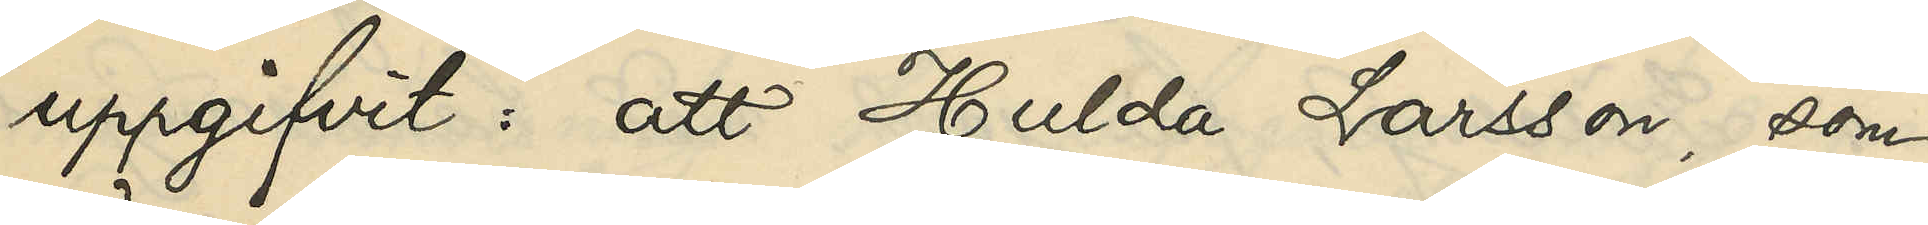uppgifvit: att Hulda Larsson, som
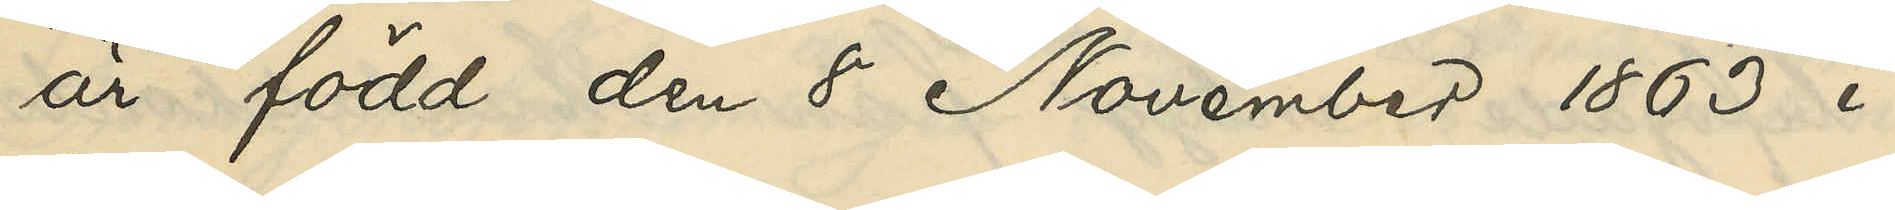är född den 8 November 1863 i
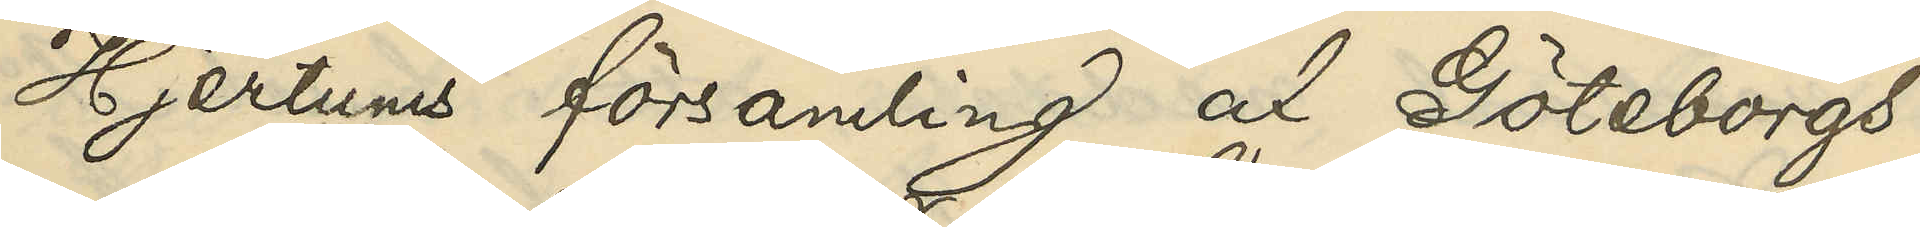Hjertums församling af Göteborgs
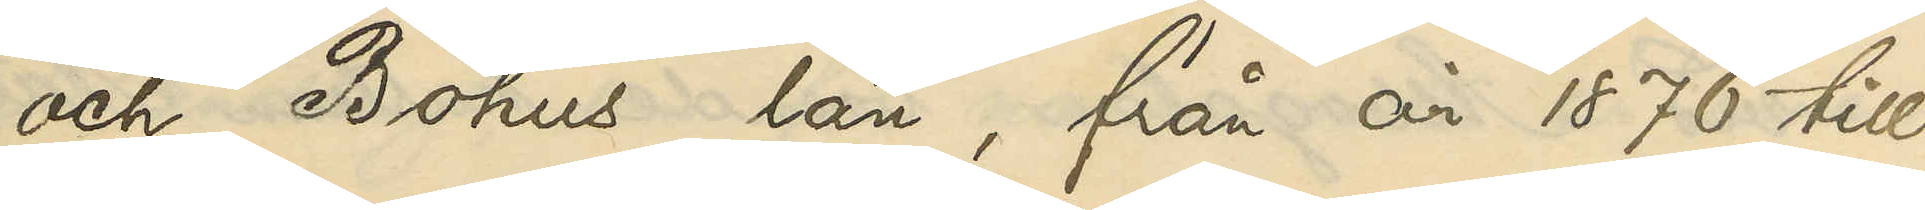och Bohus län, från år 1876 till
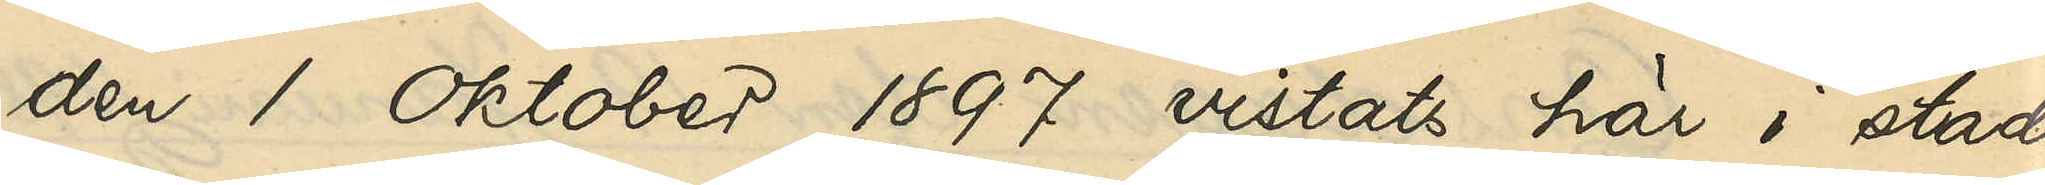den 1 Oktober 1897 vistats här i staden,
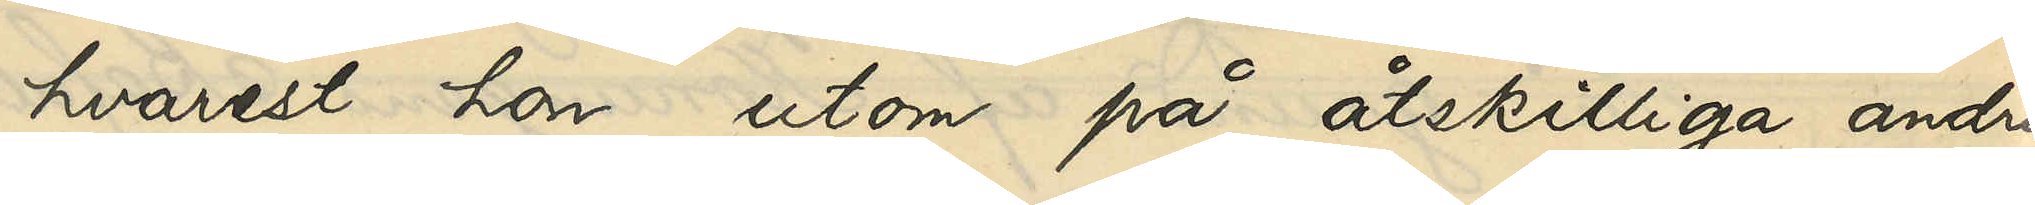hvarest hon utom på åtskilliga andra
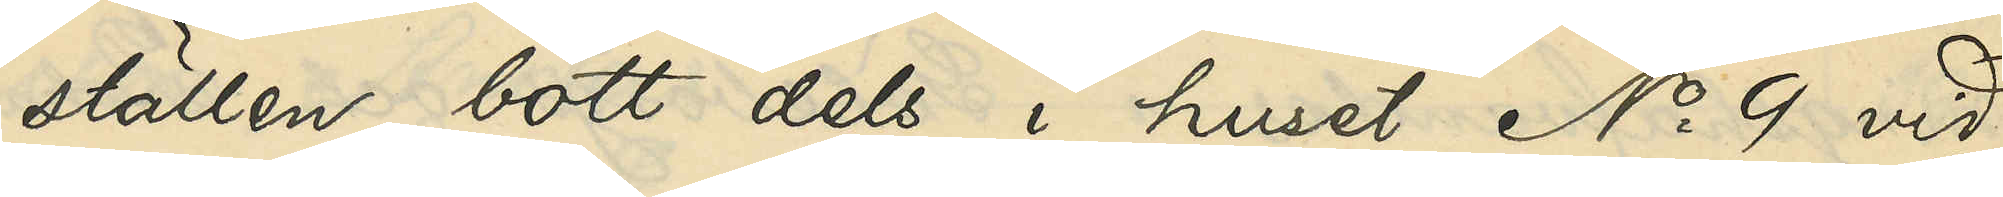ställen bott dels i huset No 9 vid
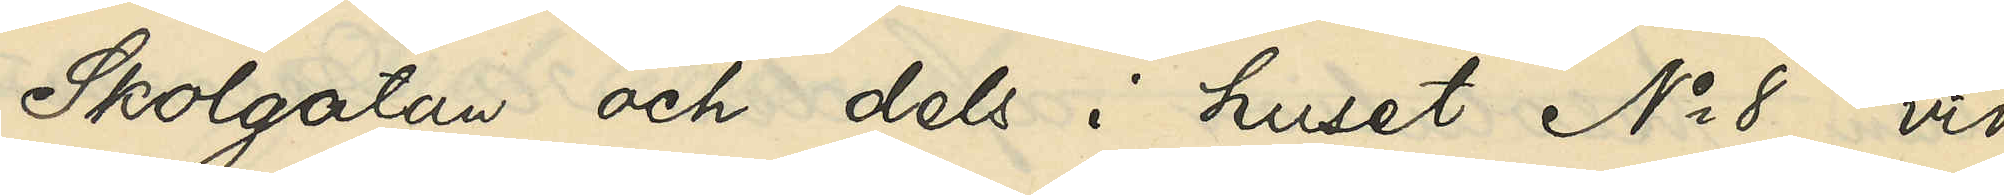Skolgatan och dels i huset No 8 vid
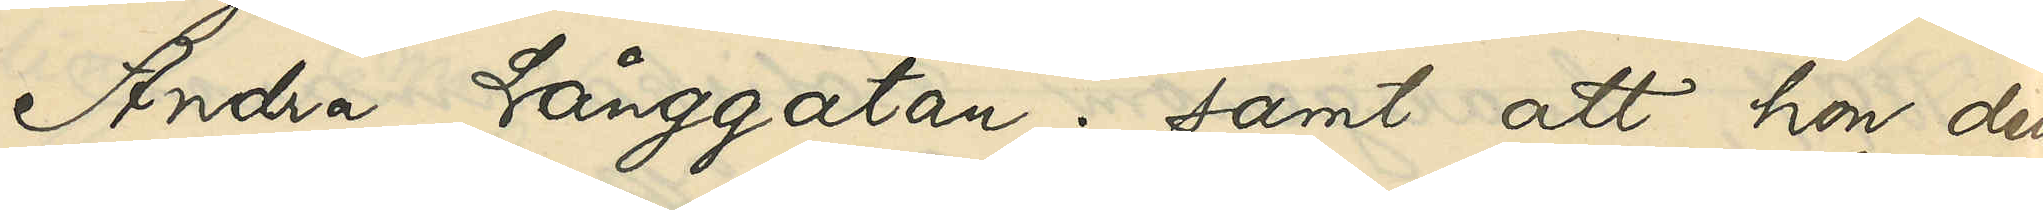Andra Långgatan; samt att hon den
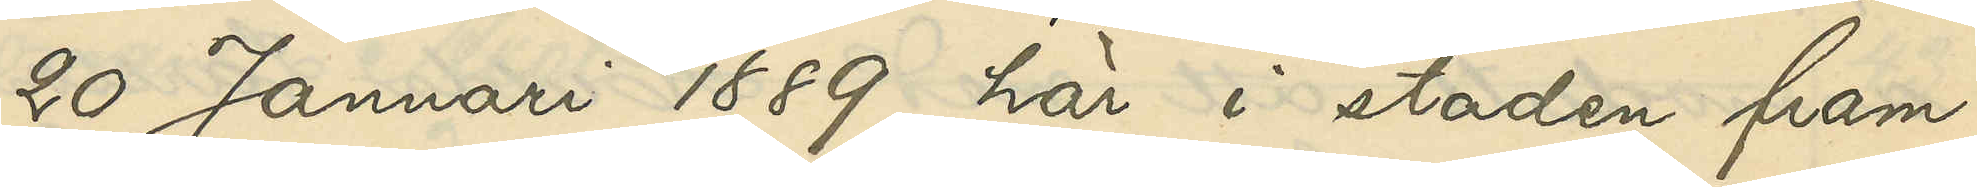20 Januari 1889 här i staden fram¬
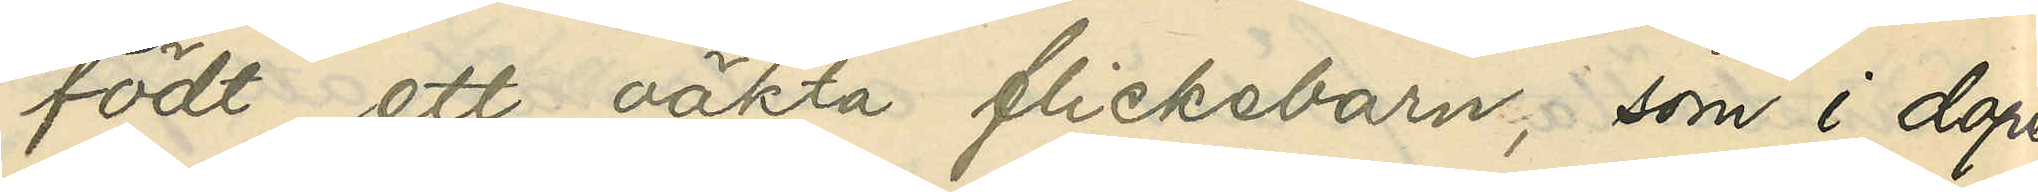födt ett oäkta flickebarn, som i dopet
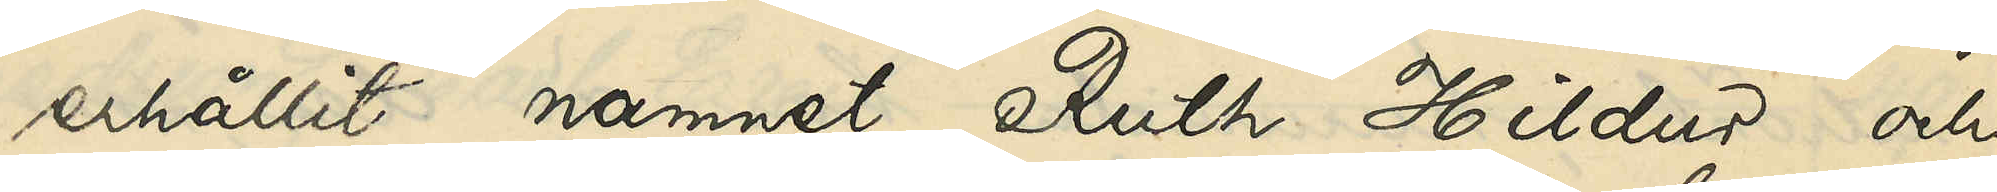erhållit namnet Ruth Hildur och
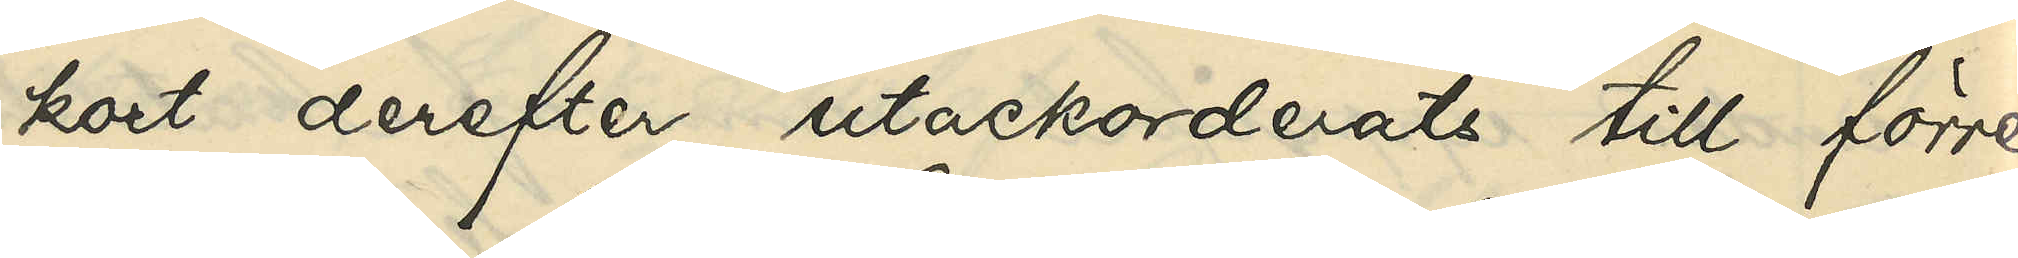kort derefter utackorderats till förre
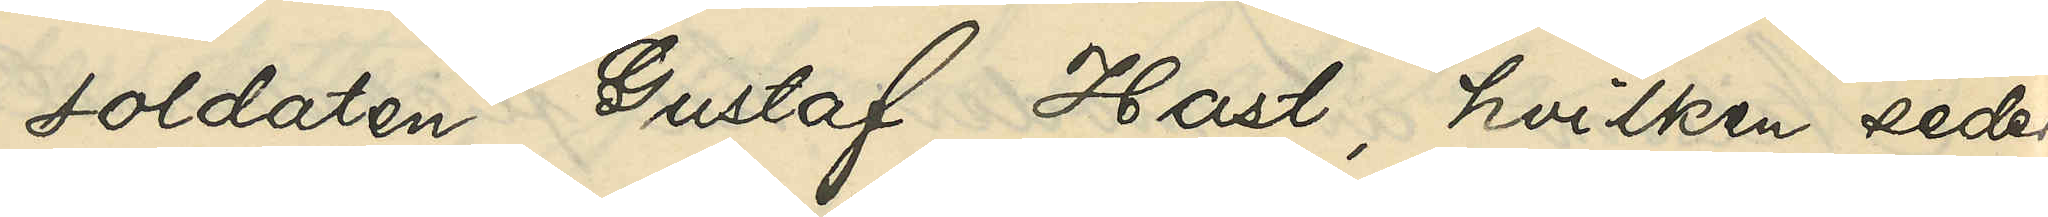soldaten Gustaf Hast, hvilken seder¬
